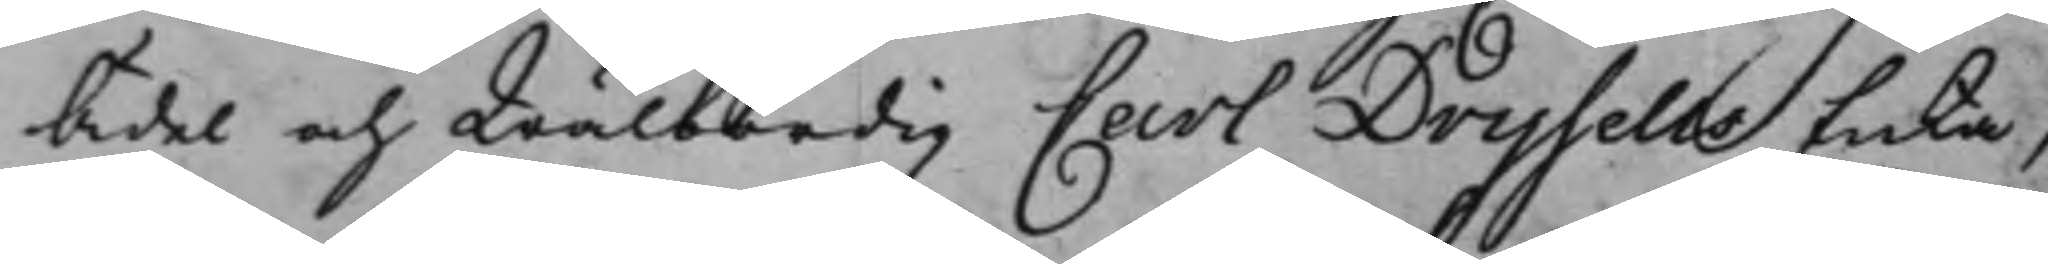Ädel och Wälbördig Carl Drysells Enka,
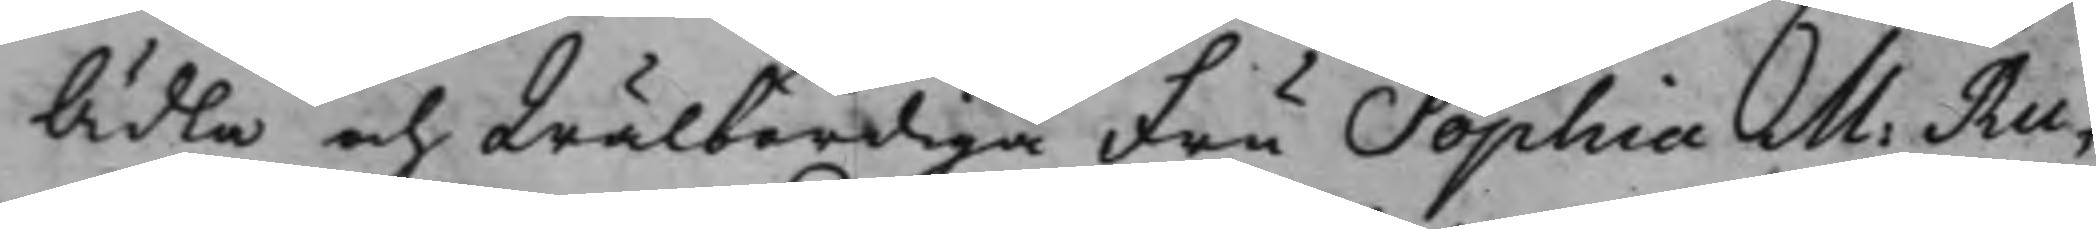Ädla och Wälbördiga Fru Sophia M. Ru¬
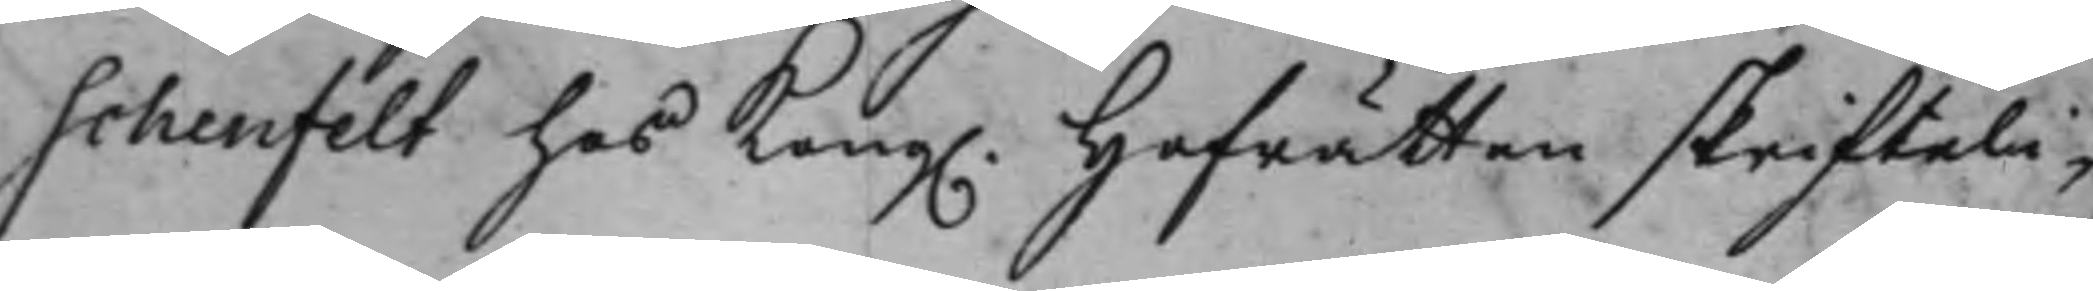schenfelt hos Kong. Hofrätten skrifteli¬
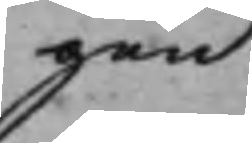gen
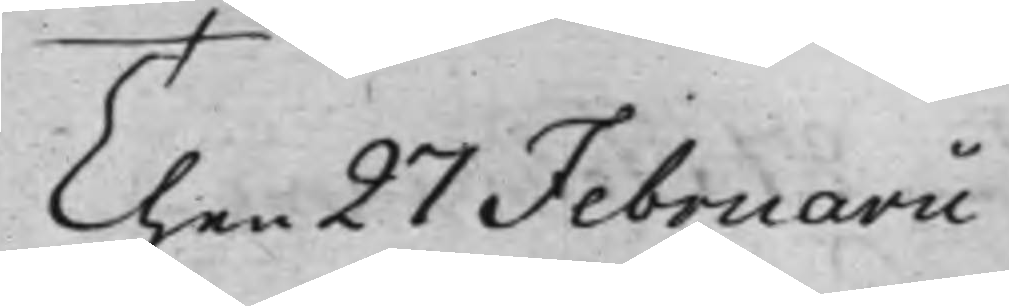Then 27 Februarii
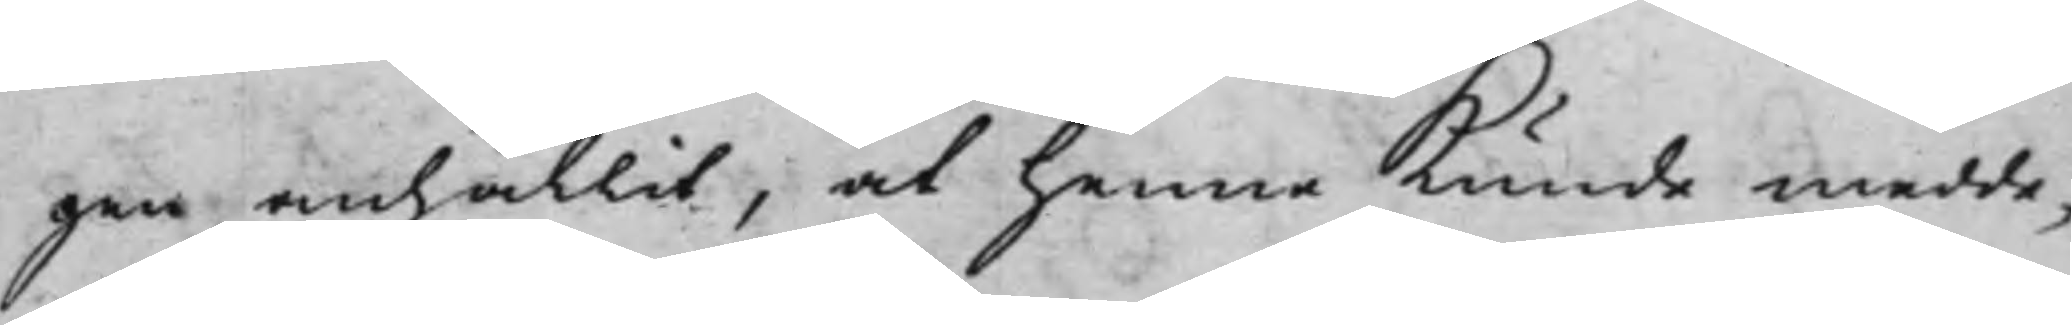gen anhållit, at henne Kunde medde¬
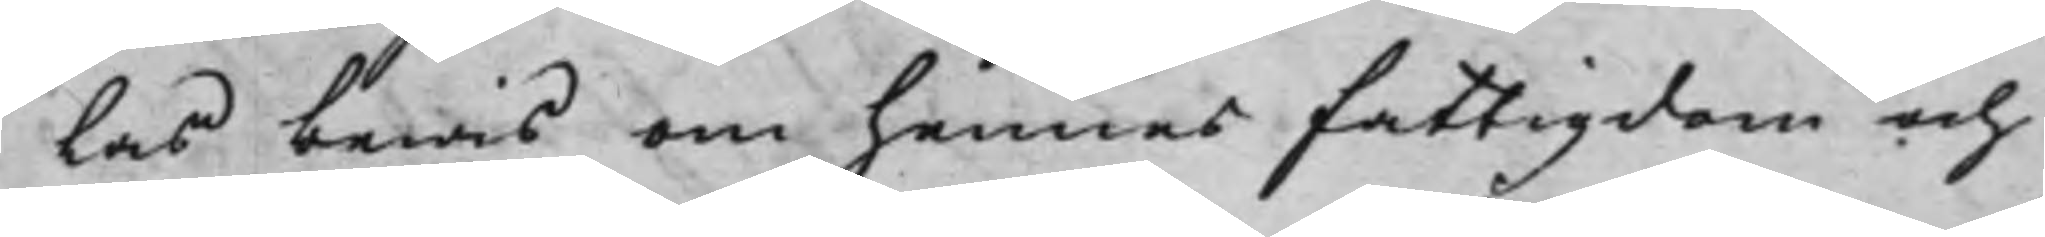las bewis om hennes fattigdom och
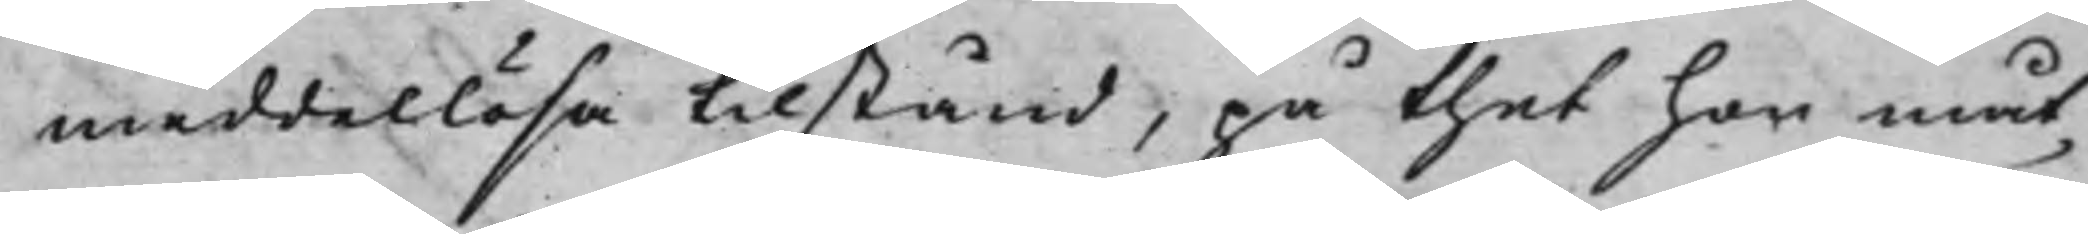meddellösa tilstånd, på thet hon måt¬
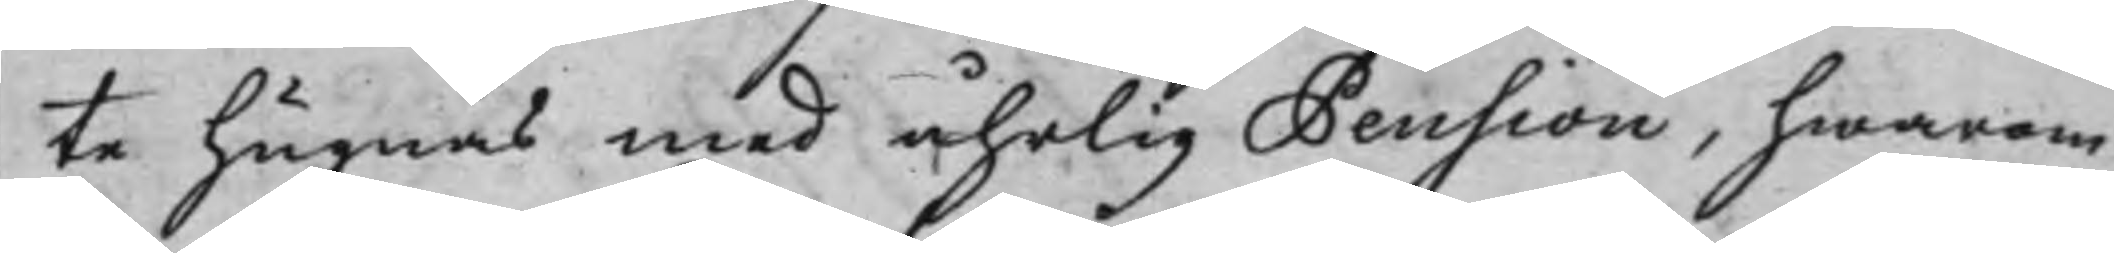te hugnas med åhrlig Pension, hwarom
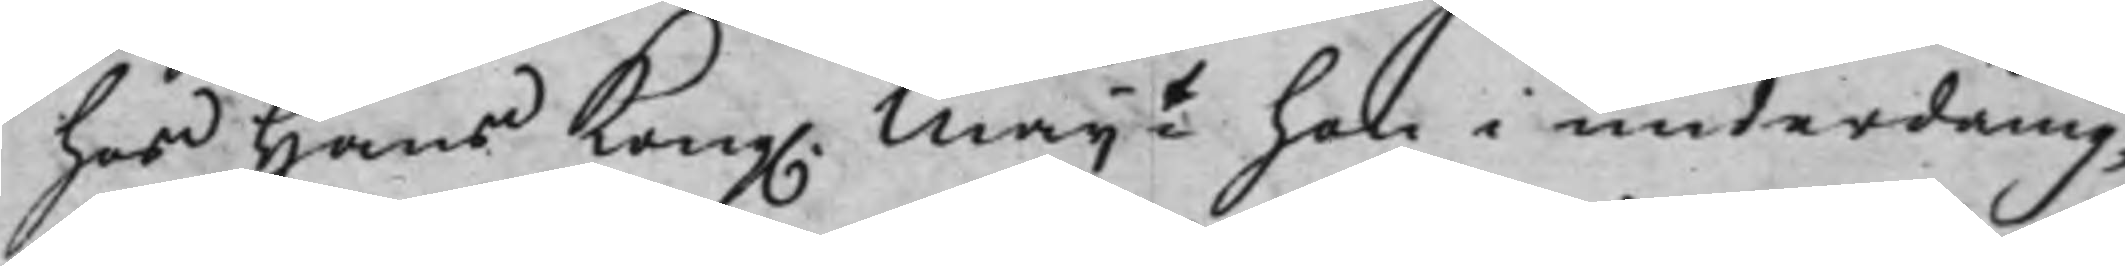hos Hans Kong. Maijt hon i underdånig¬
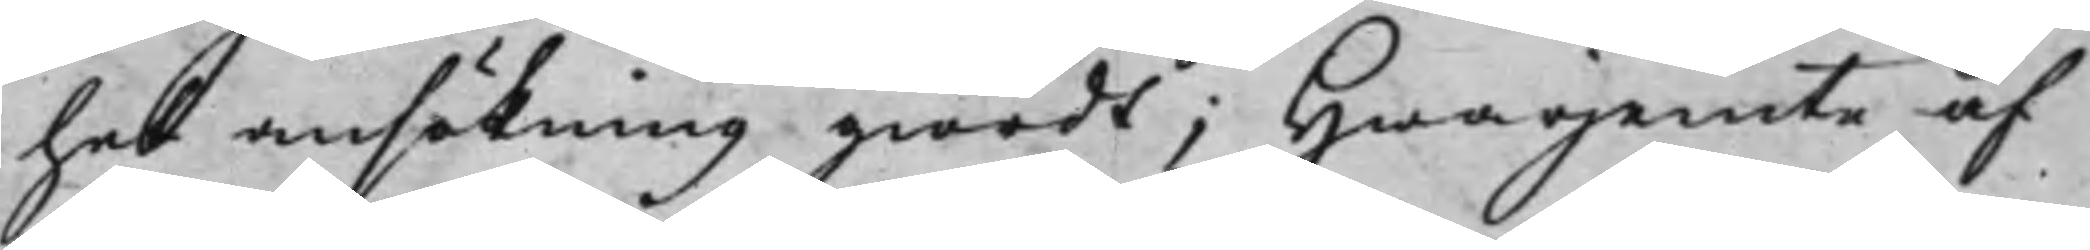het ansökning giordt; Hwarjemte af
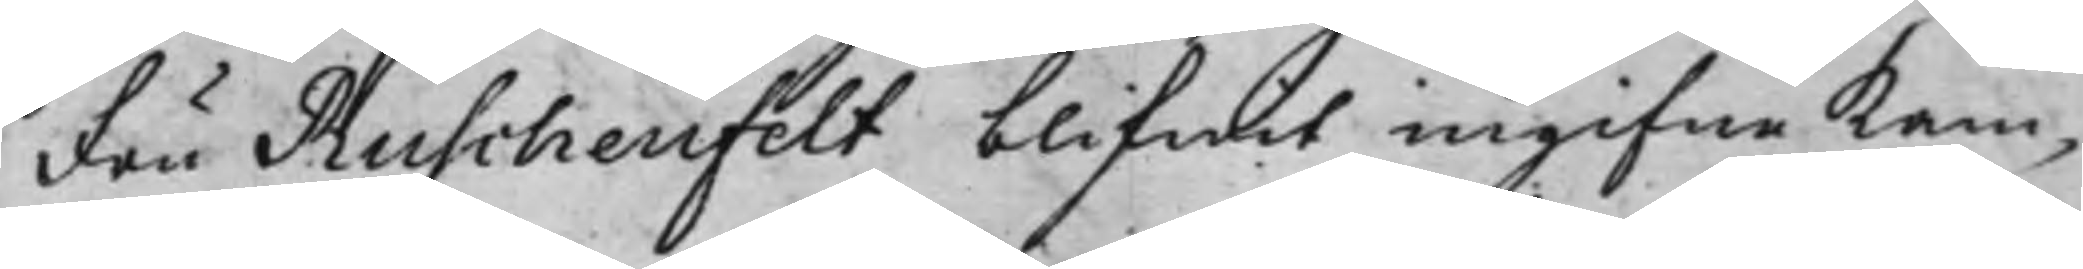Fru Ruschenfelt blifwit ingifne kam¬
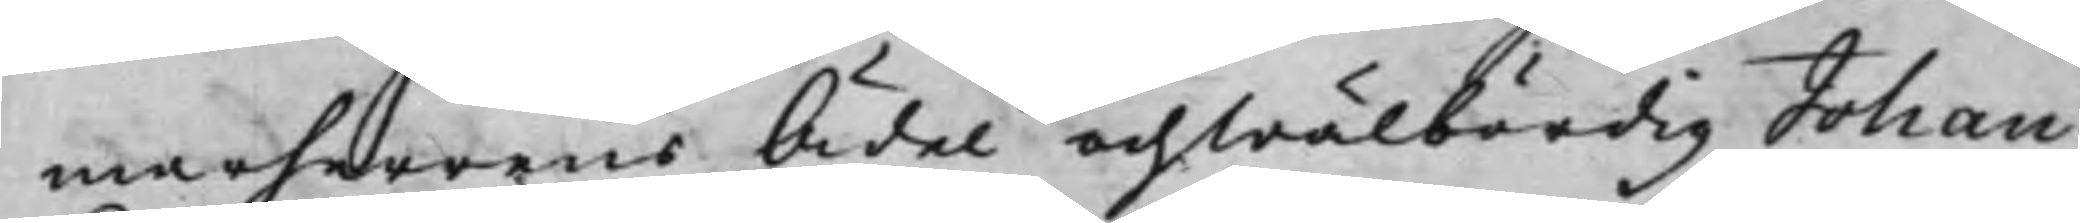marherrens Ädel och Wälbördig Johan
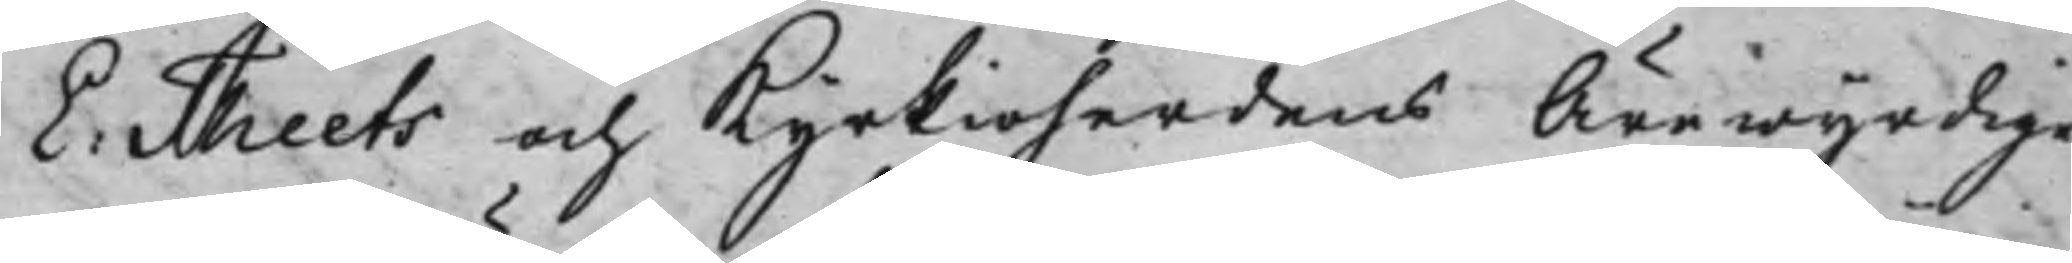E: Theets och Kyrkioherdens Ärewyrdige
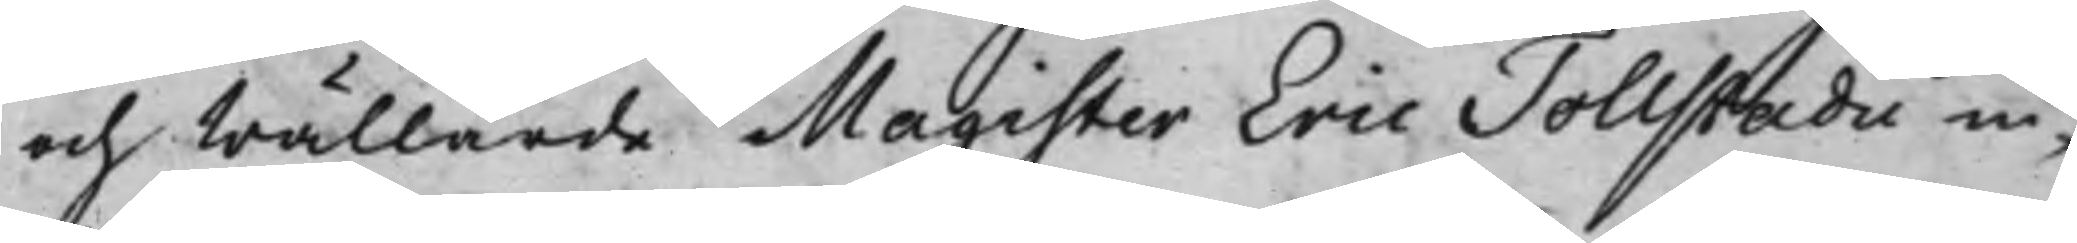och Wällärde Magister Eric Tollstadii in¬
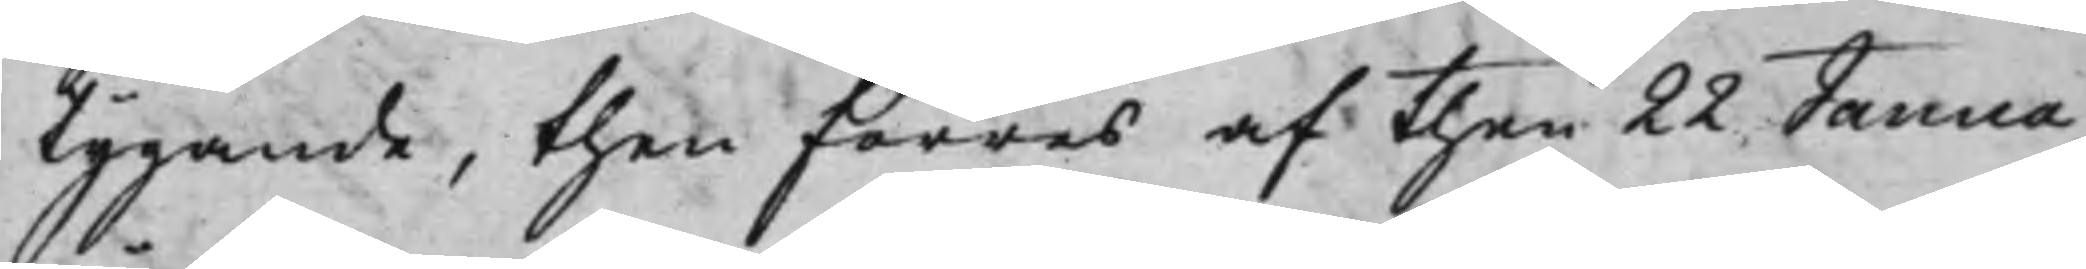tygande, then förres af then 22 Janua¬
